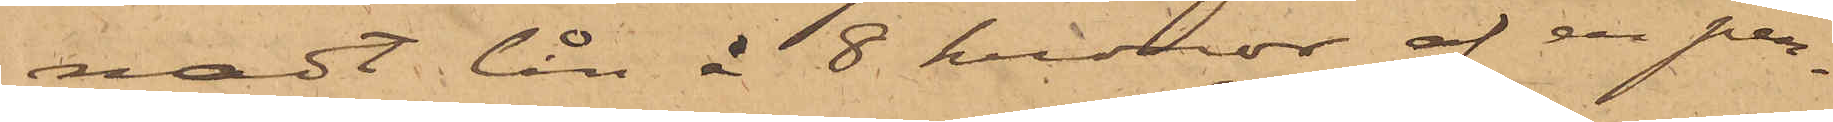nadt lån å 8 kronor af en per¬
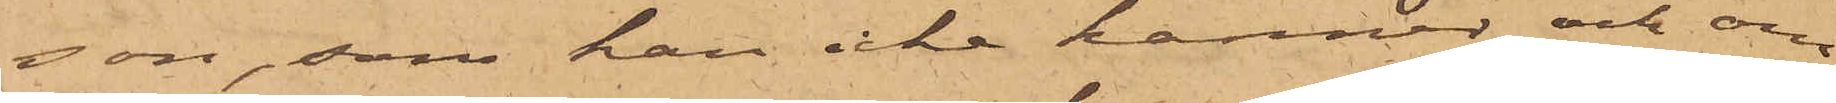son, som han icke känner och om
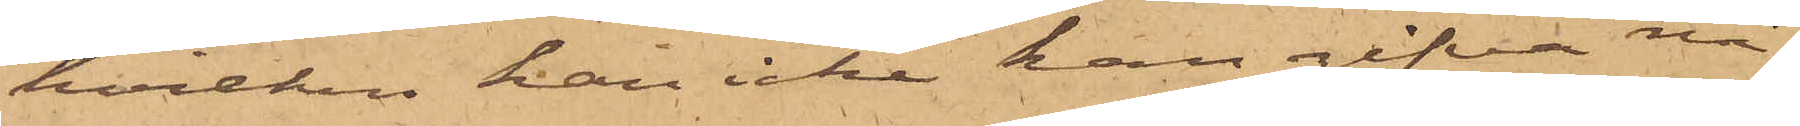hvilken han icke han gifva nå¬
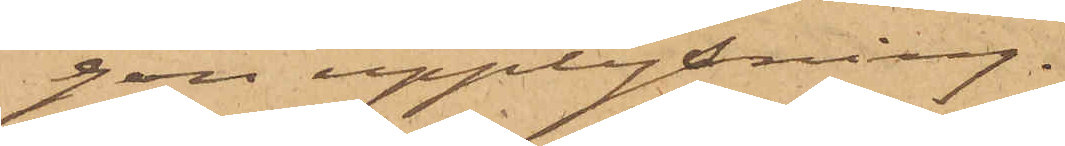gon upplysning.
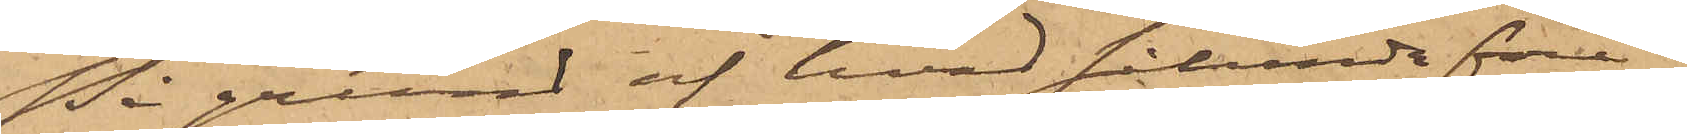På grund af hvad sålunda före¬
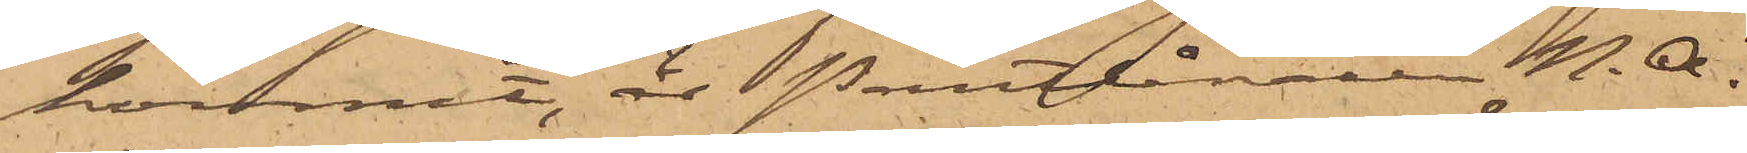kommit, är Pantlånaren N. A.
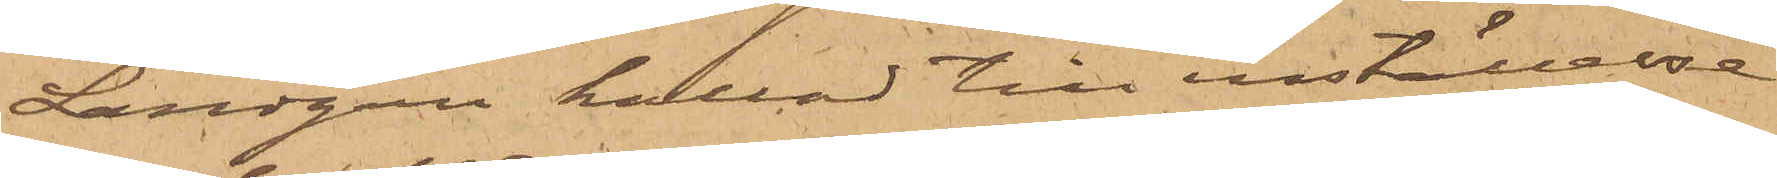Landgren kallad till inställelse
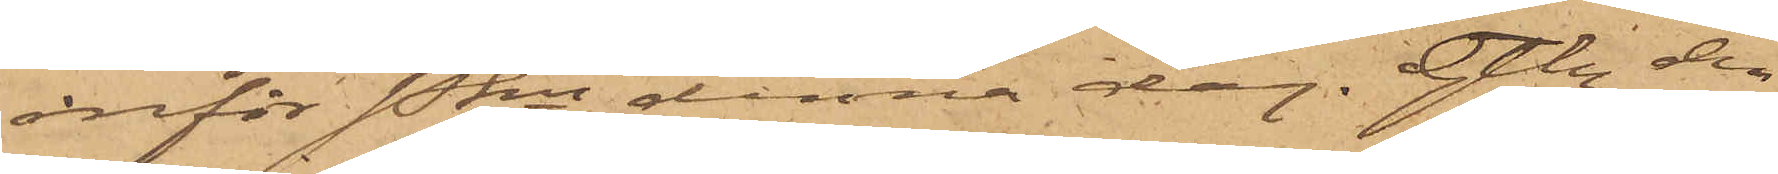inför Pkn denna dag. Gtbg den
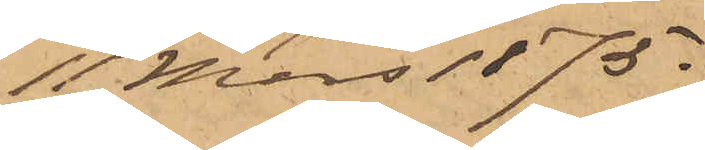11 Mars 1875.
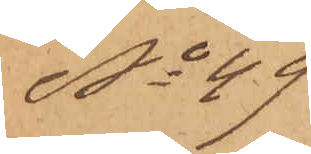No 49
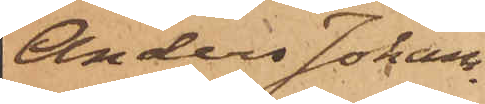Anders Johans¬
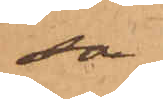son
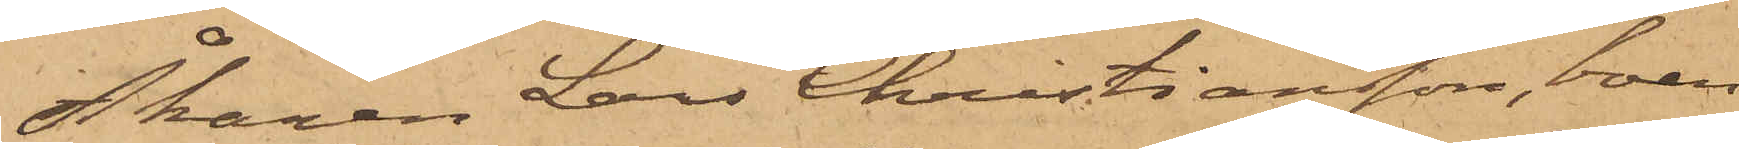Åkaren Lars Christiansson, boen¬
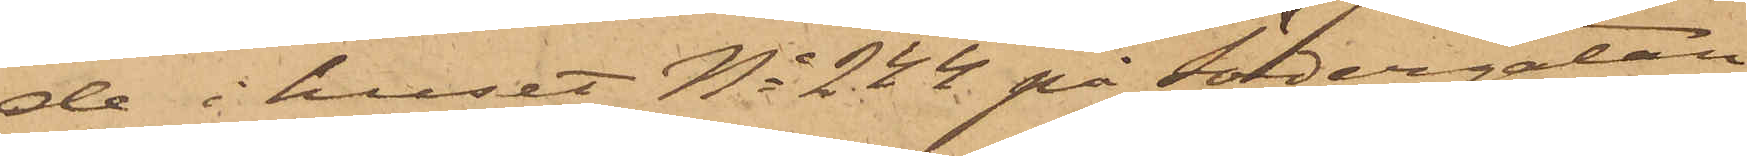de i huset No 244 på Södergatan
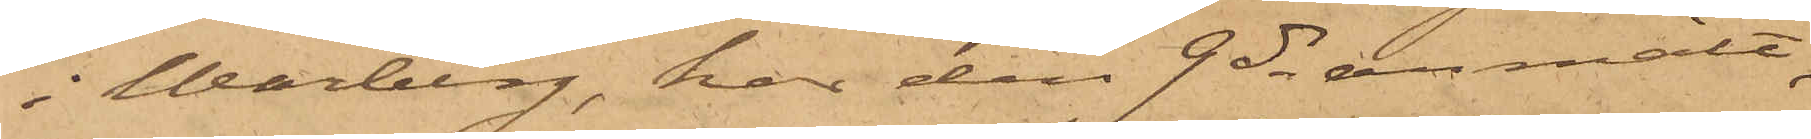i Warberg, har den 9 ds anmält,
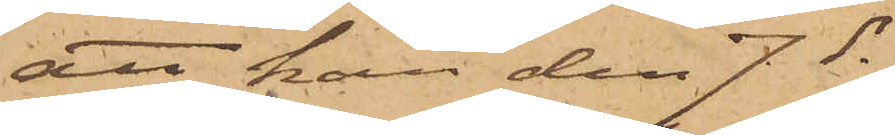att han den 7 ds
